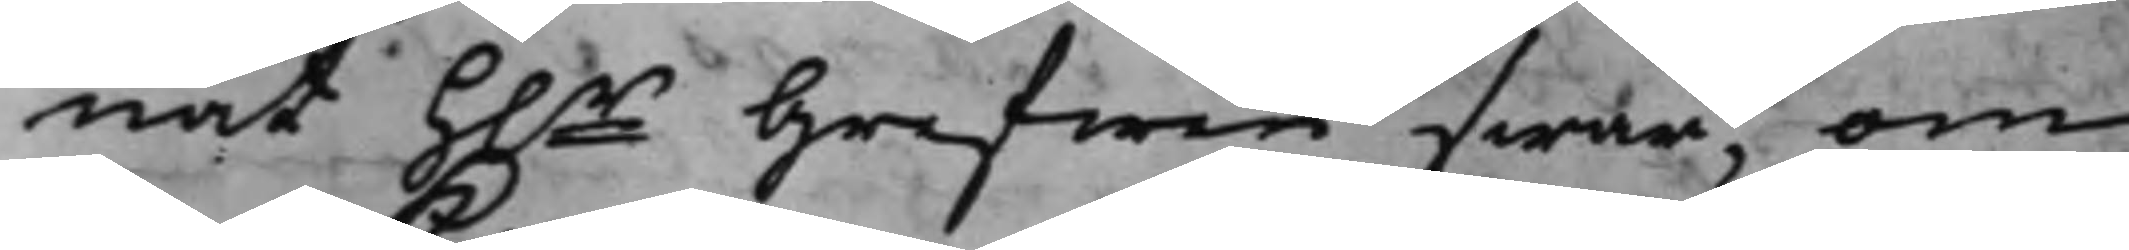nat h.r Grefwen swar, om
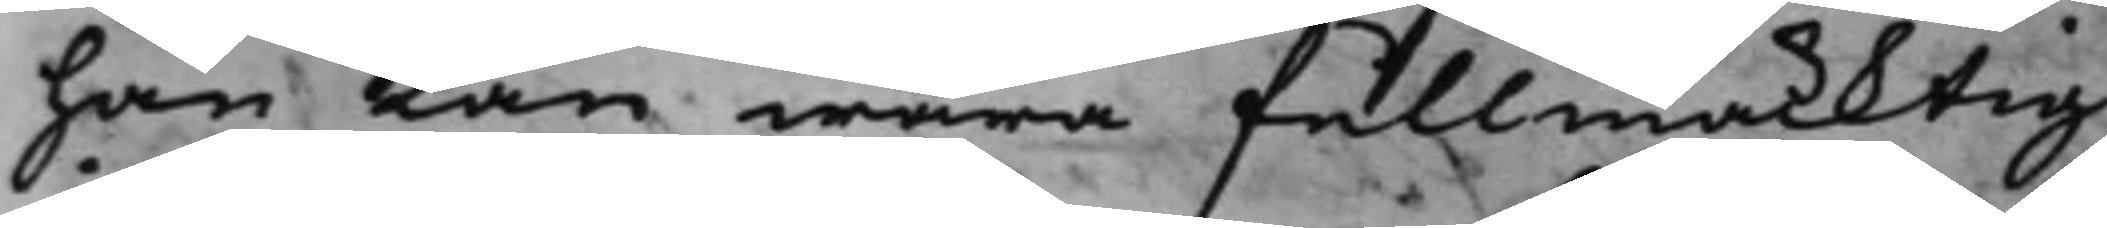han kan wara fullmäcktig
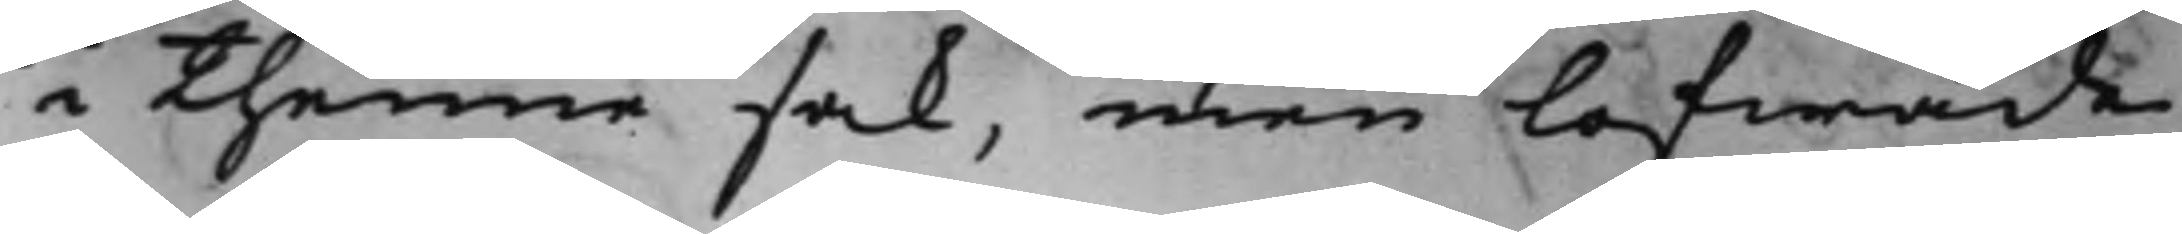i thenne sak, men lofwade
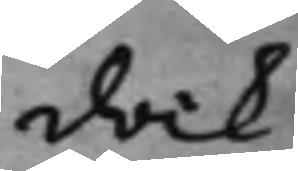dock
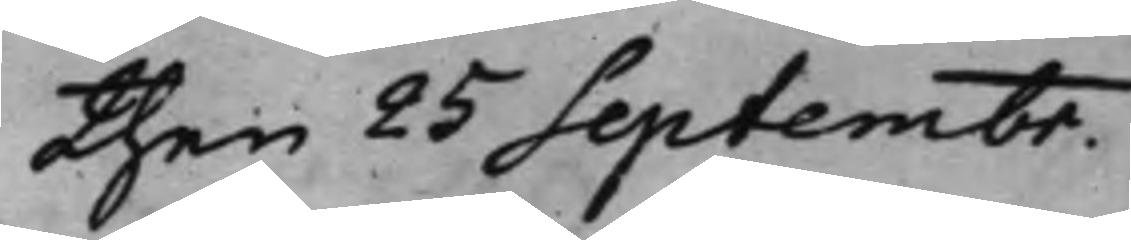then 25 Septembr.
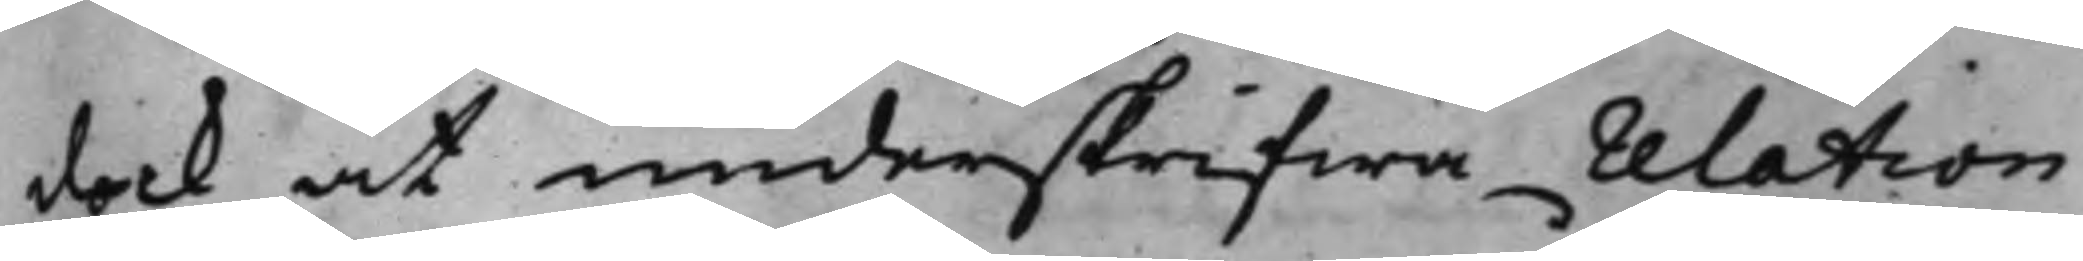dock at underskrifwa relation
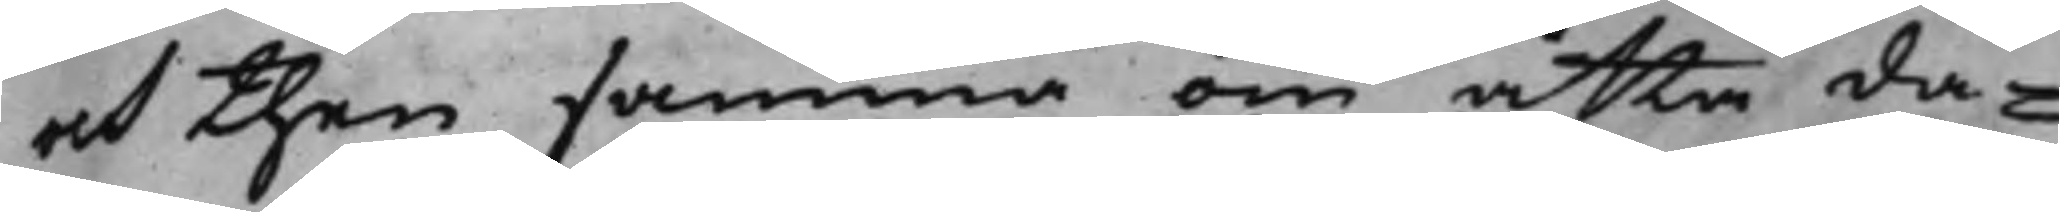och then samma om åtta da¬
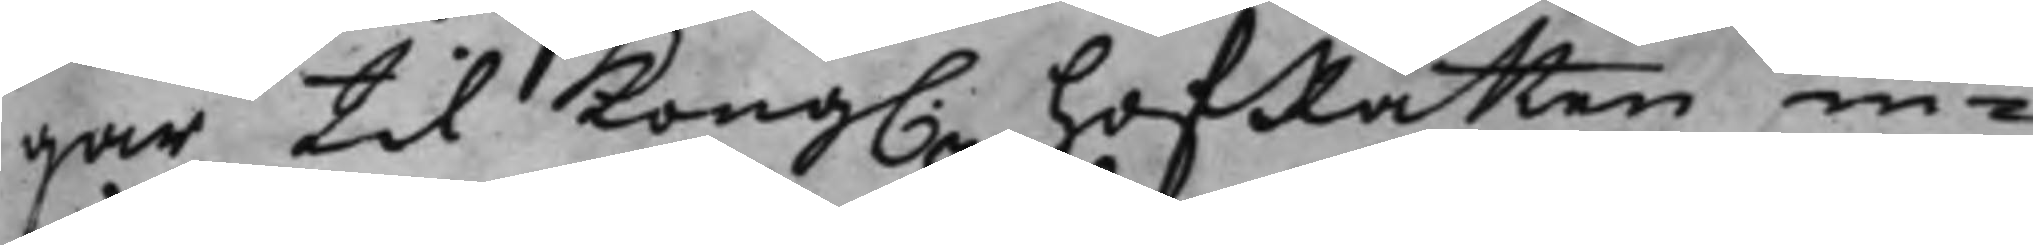gar til Kong. HofRätten in¬
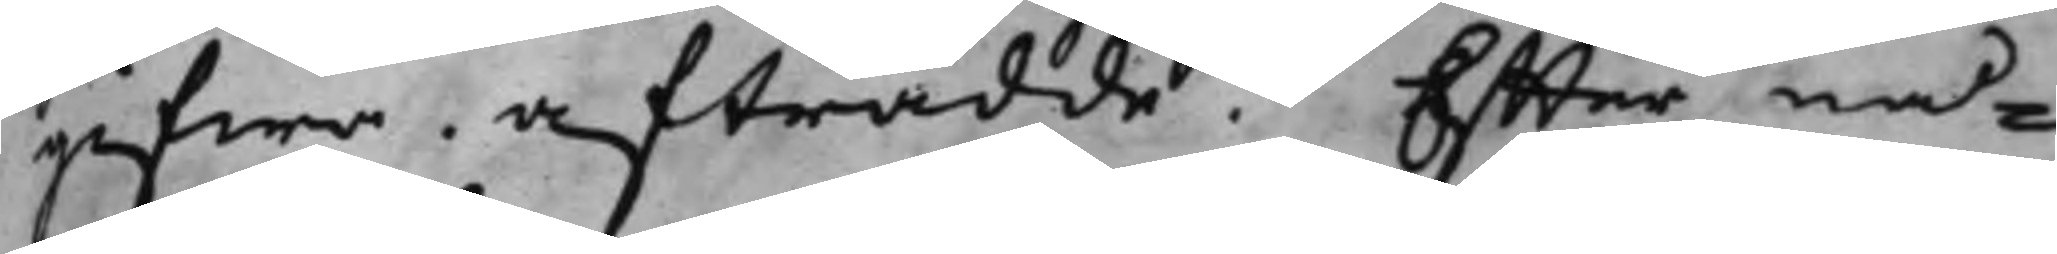gifwa. afträdde. Effter nå¬
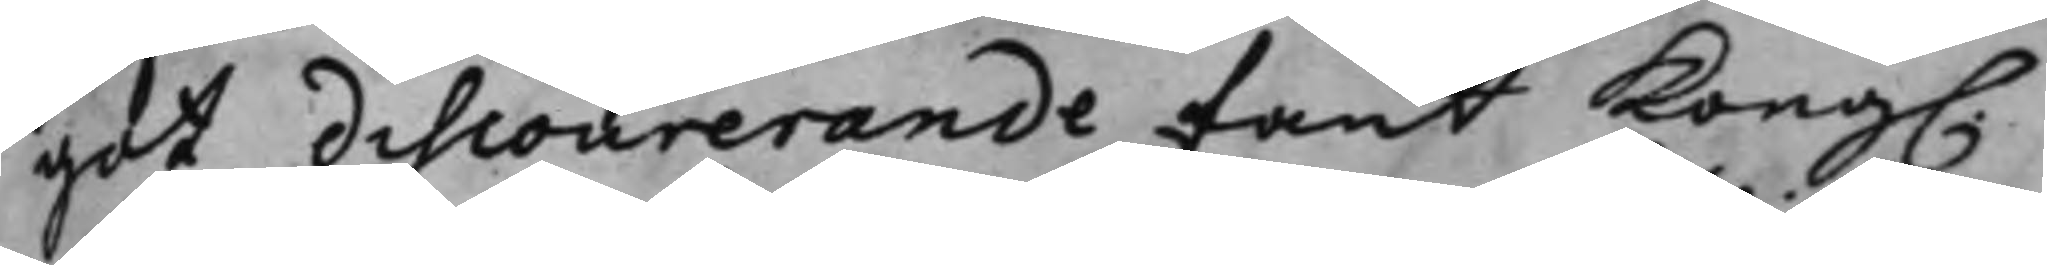got discourerande fant Kong.
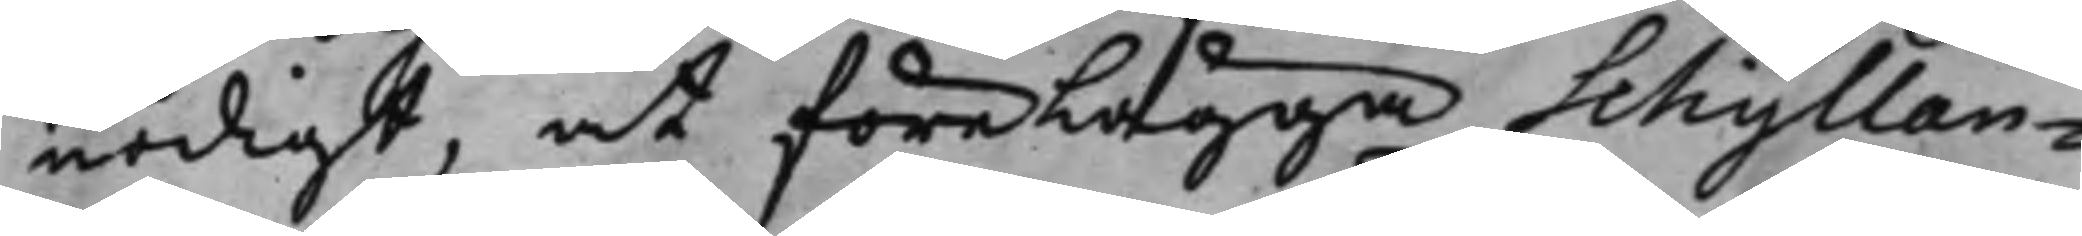nödigt, at förelägga Schyllan¬
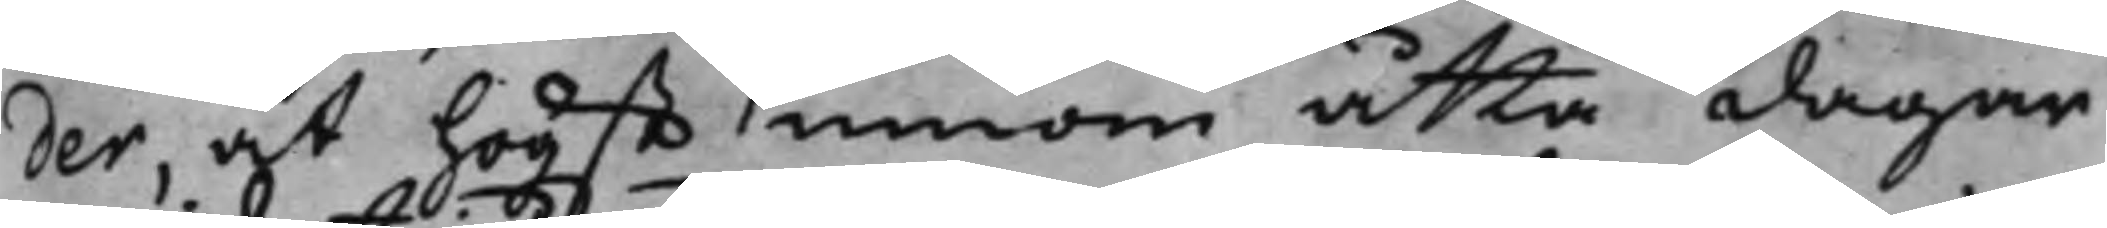der, at högst innom åtta dagar,
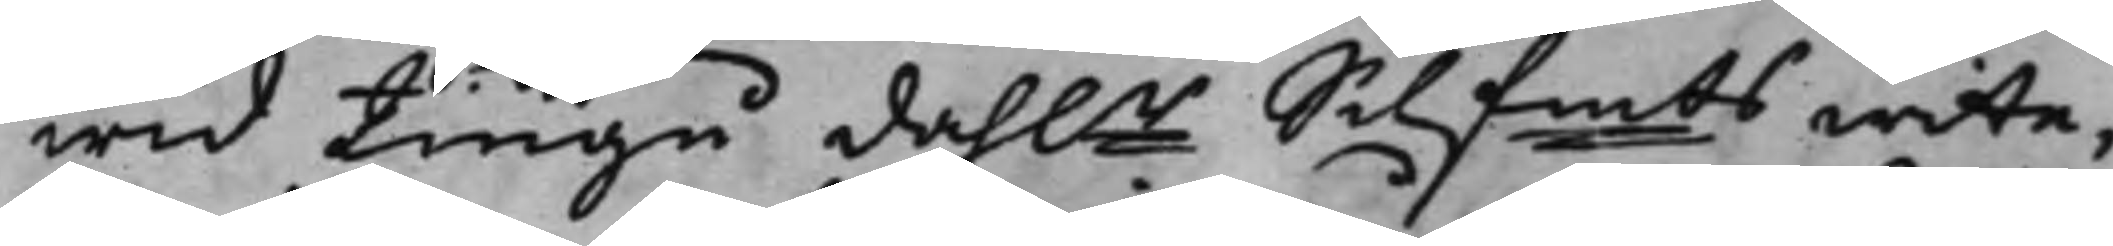wid Tjugu dah.r Silfmts wite,
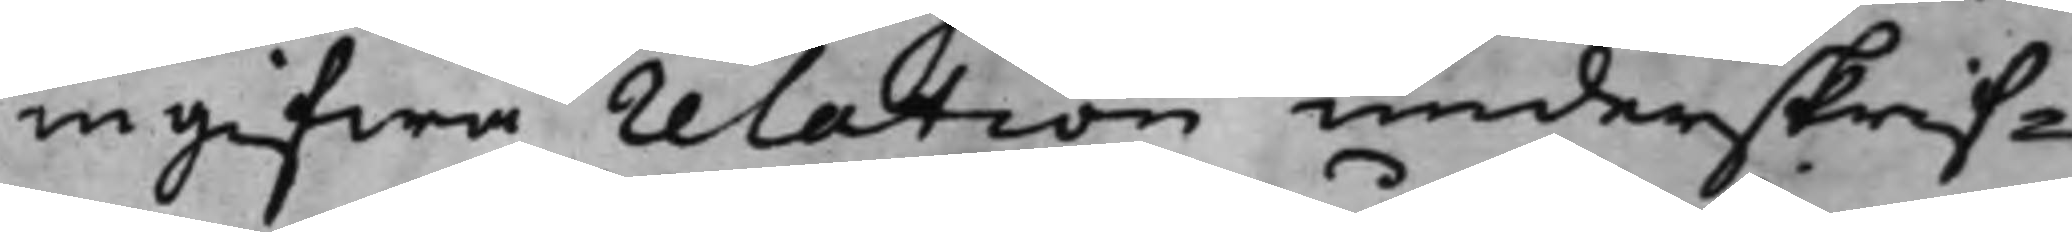ingifwa relation underskrif¬
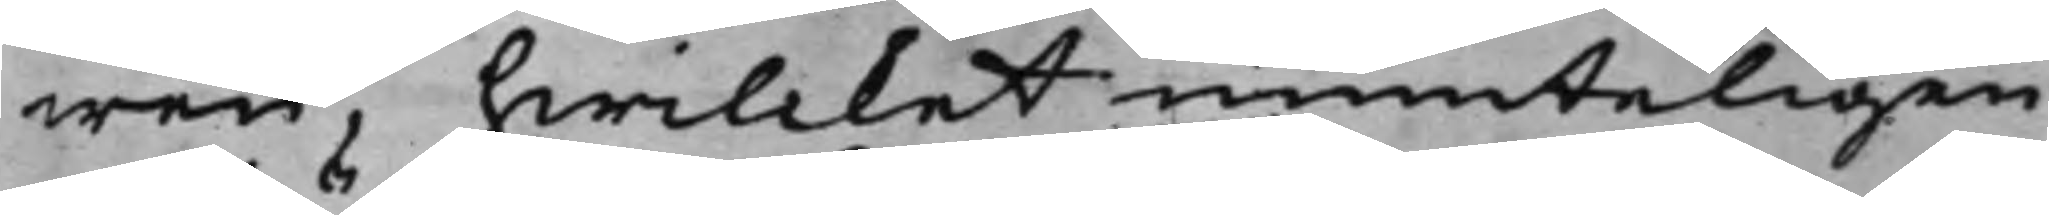wen, hwilcket munteligen
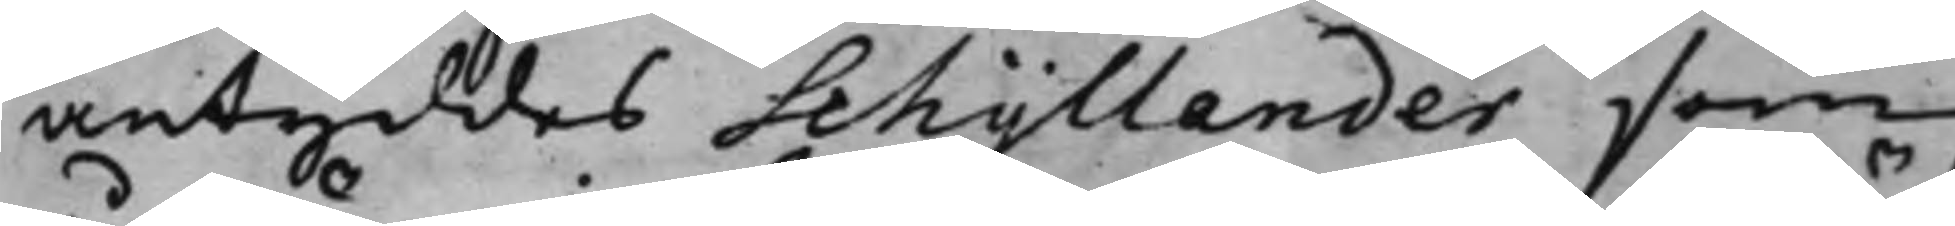antyddes Schyllander, som
